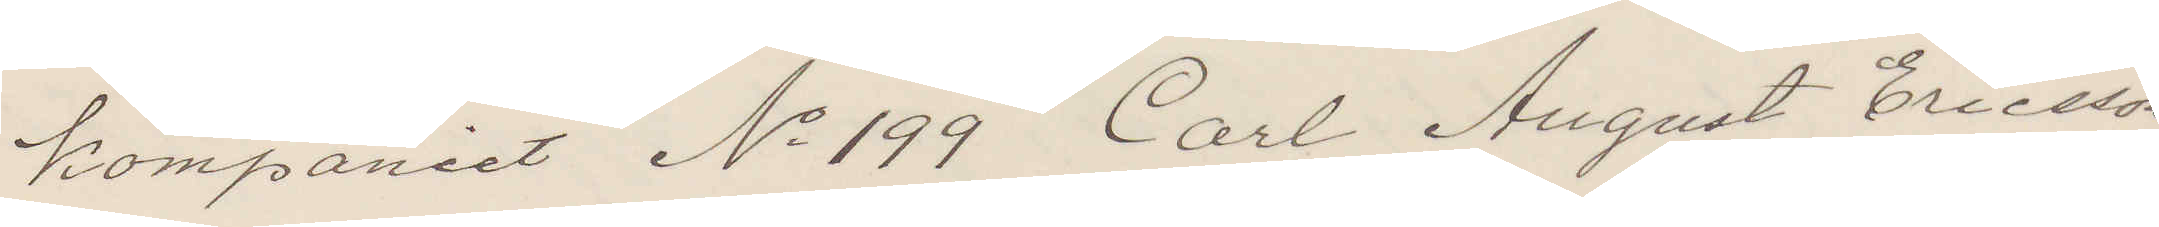kompaniet No 199 Carl August Ericsson,
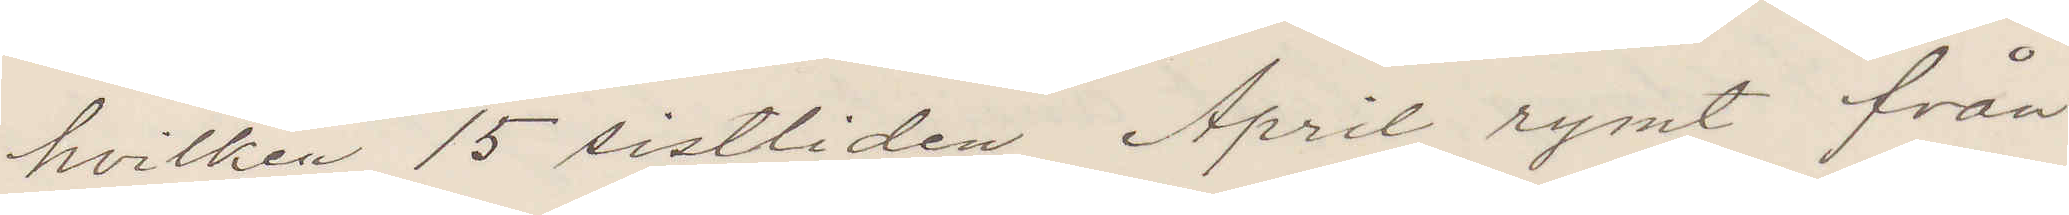hvilken 15 sistliden April rymt från
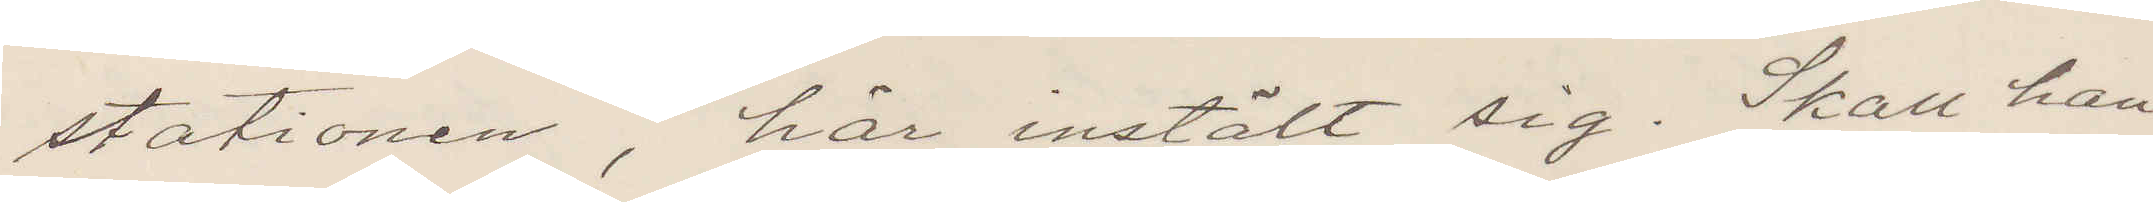stationen, här inställt sig. Skall han
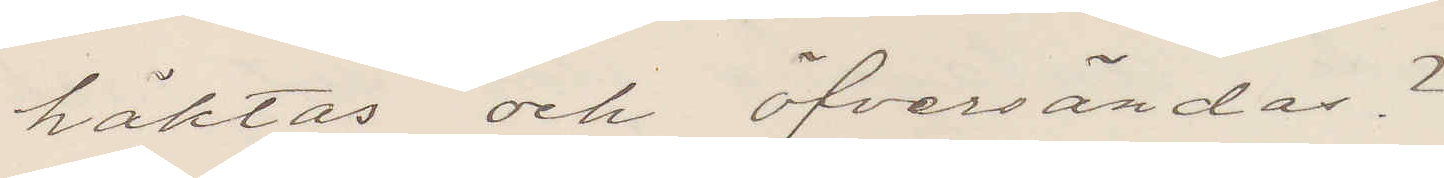häktas och öfversändas?
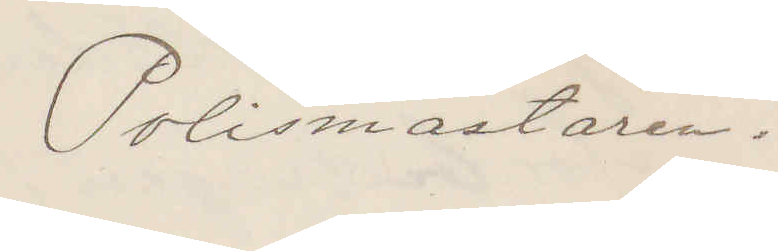Polismästaren.
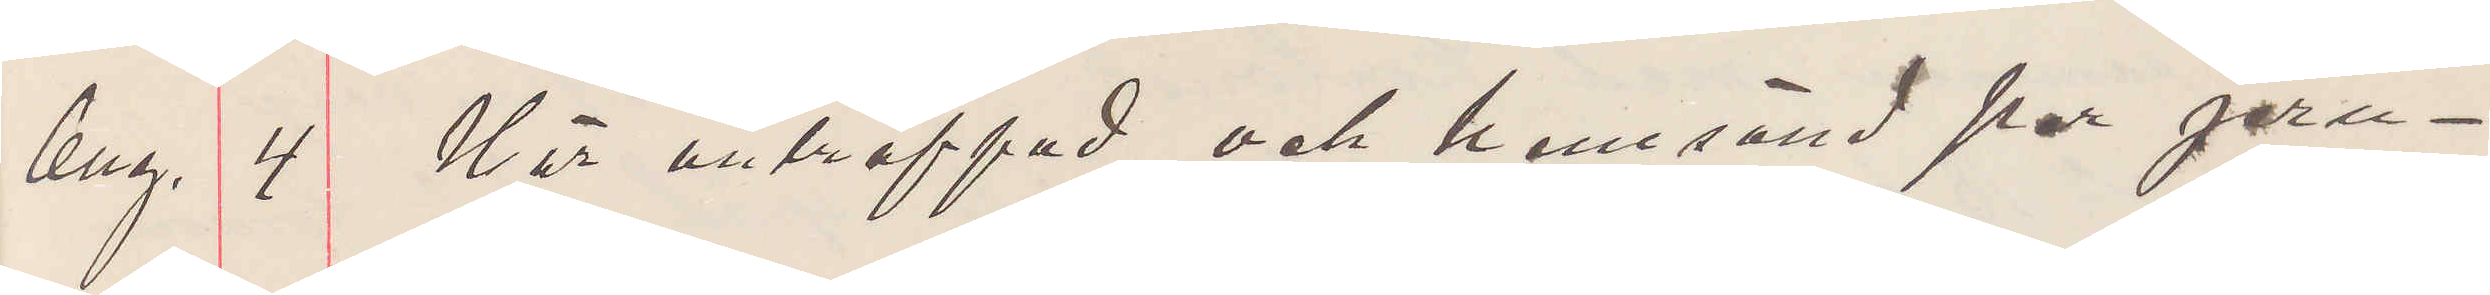Aug. 4 Här anträffad och hemsänd per jern¬
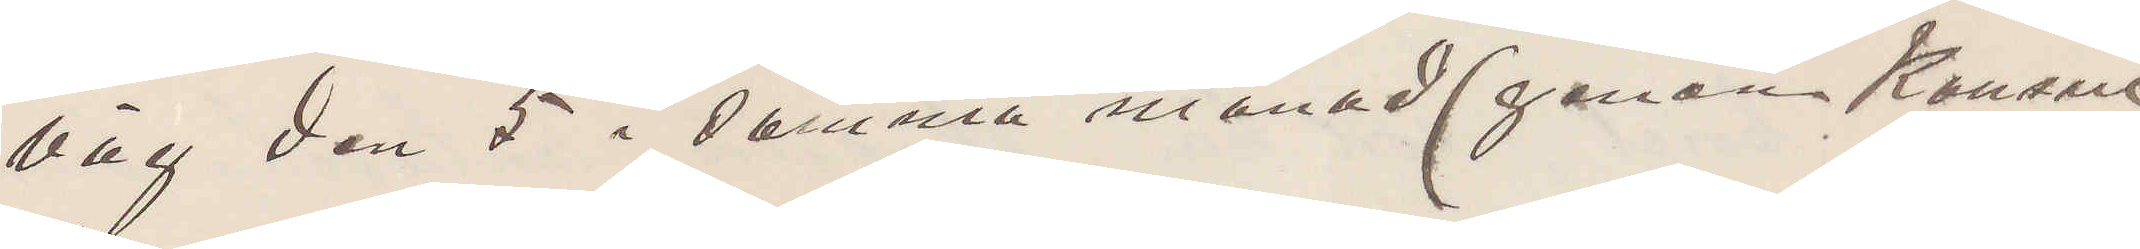väg den 5 i denna månad (genom Konsul
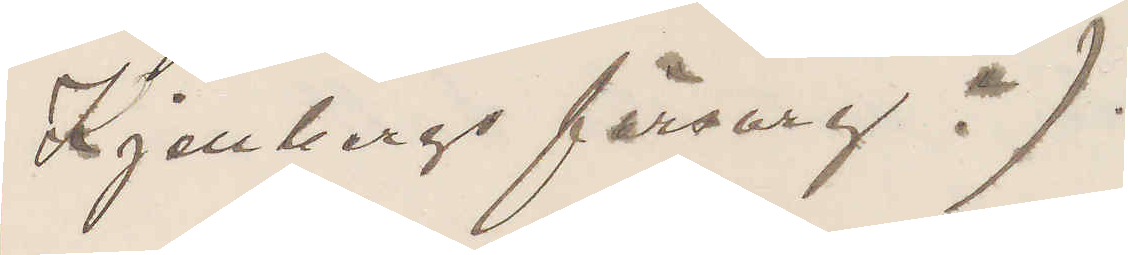Kjellbergs försorg.).
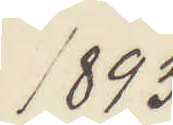1893
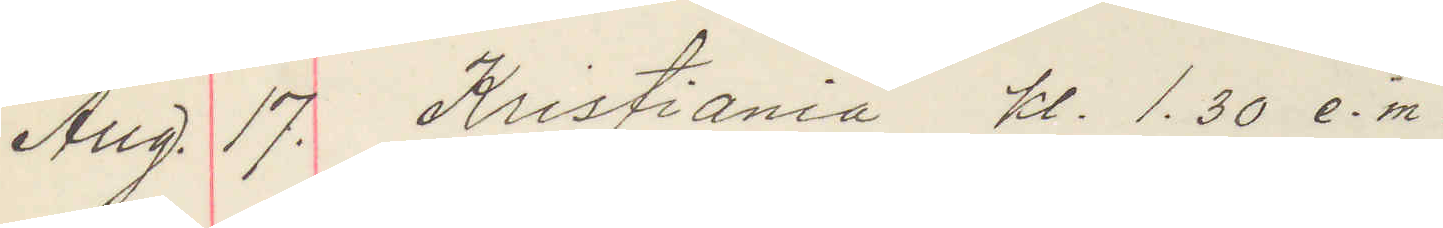Aug. 17. Kristiania kl. 1.30 e. m.
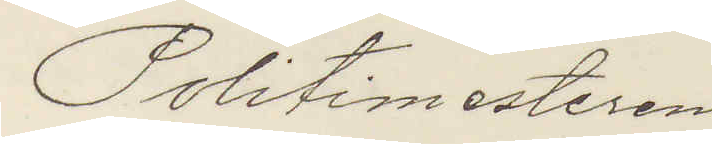Politimesteren
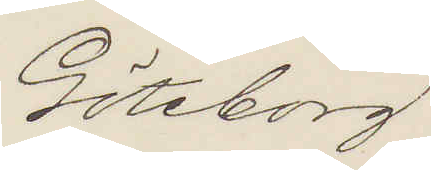Göteborg
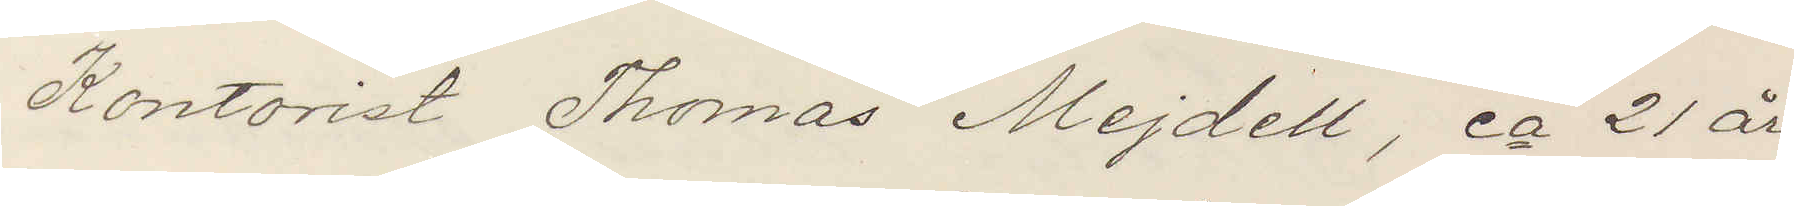Kontorist Thomas Mejdell, ca 21 år,
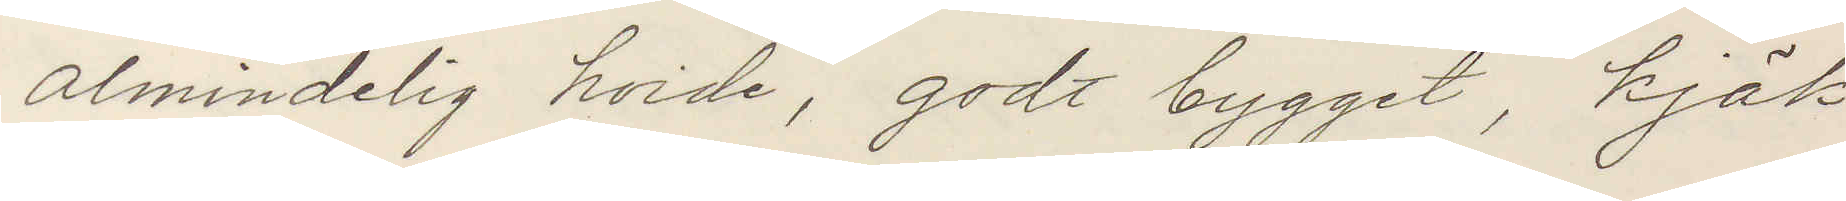almindelig höide, godt bygget, kjäk
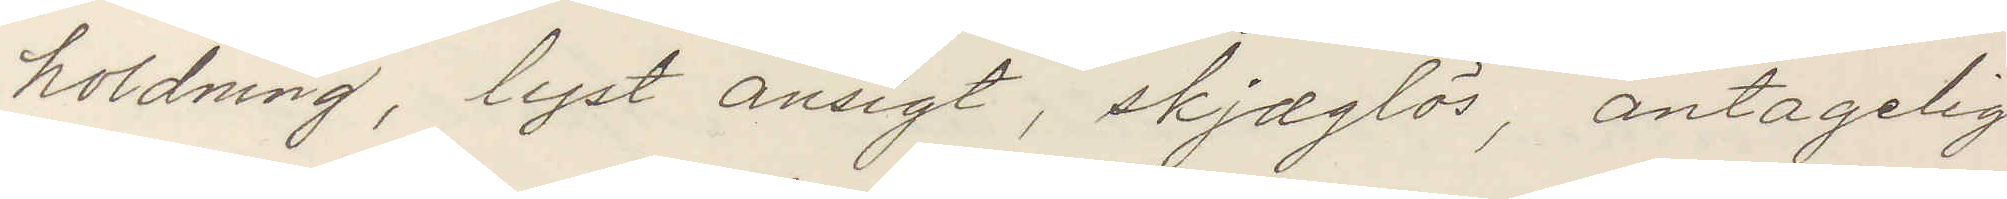holdning, lyst ansigt, skjæglös, antagelig
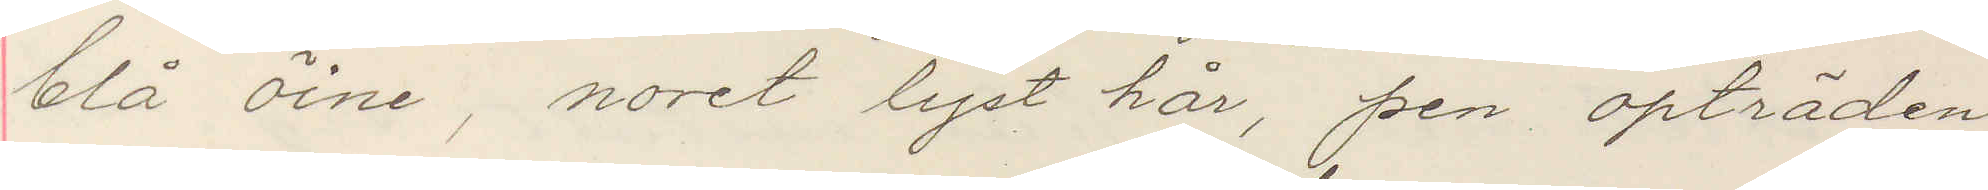blå öine, noret lyst hår, pen opträden
